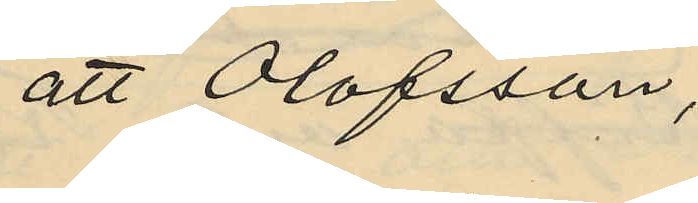att Olofsson,
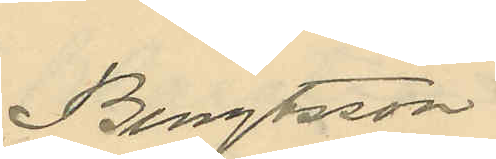Bengtsson
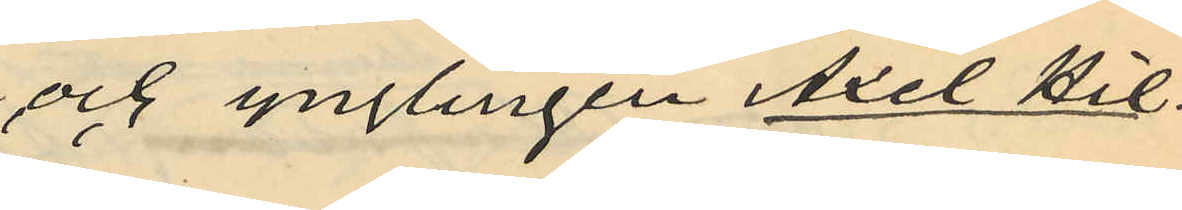och ynglingen Axel Hill¬
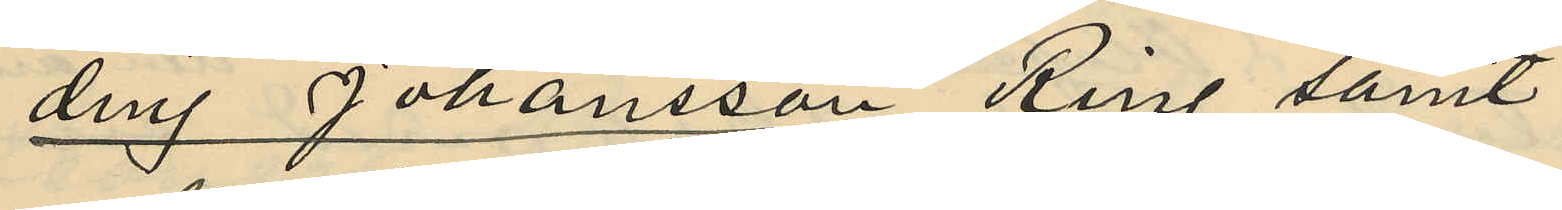ding Johansson Ring samt
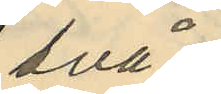två
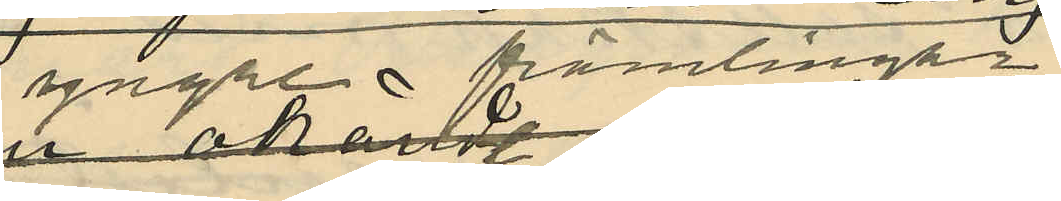yngre främlingar
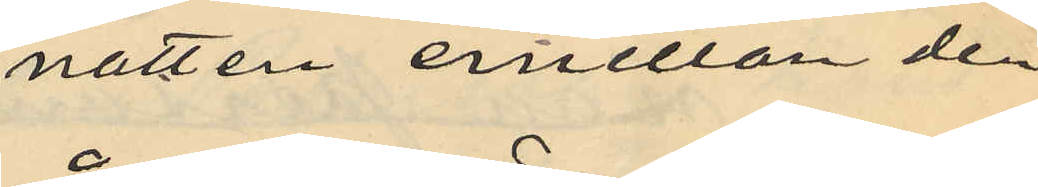natten emellan de
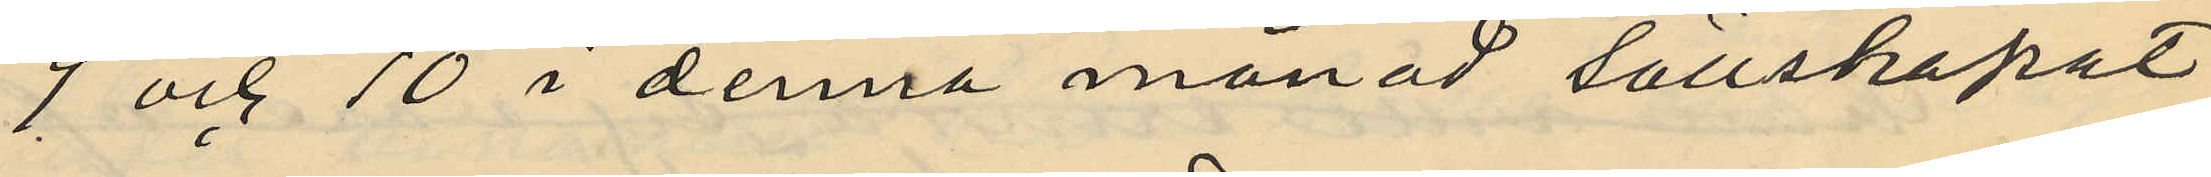9 och 10 i denna månad sällskapat
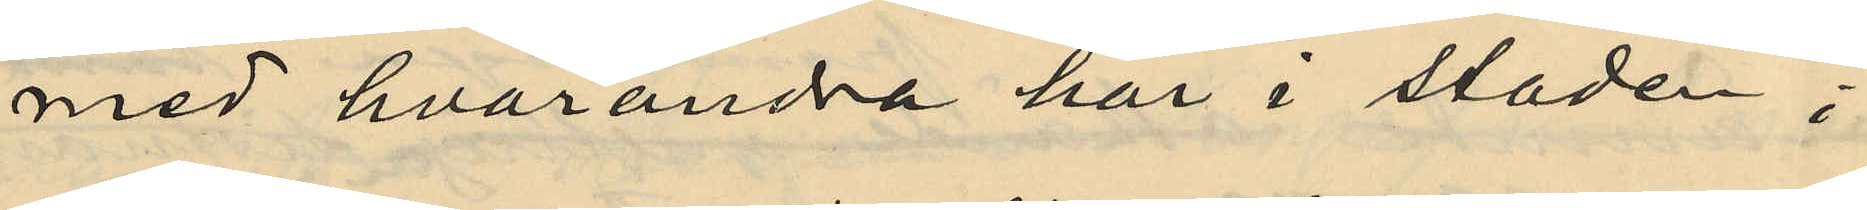med hvarandra här i staden;
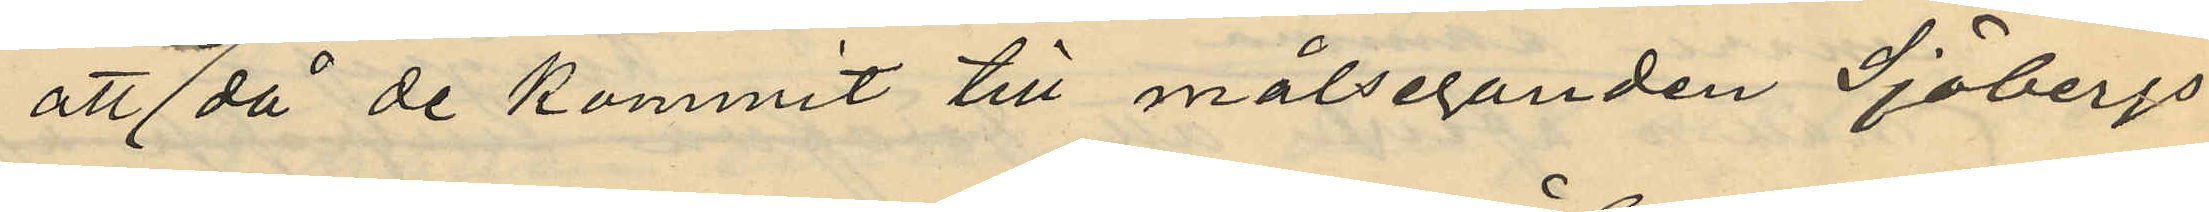att då de kommit till målseganden Sjöbergs
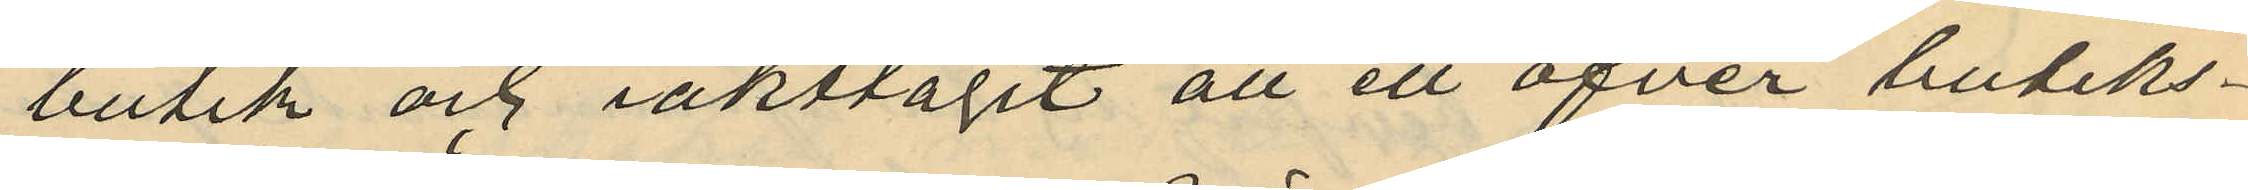butik och iakttagit att ett öfver butiks¬
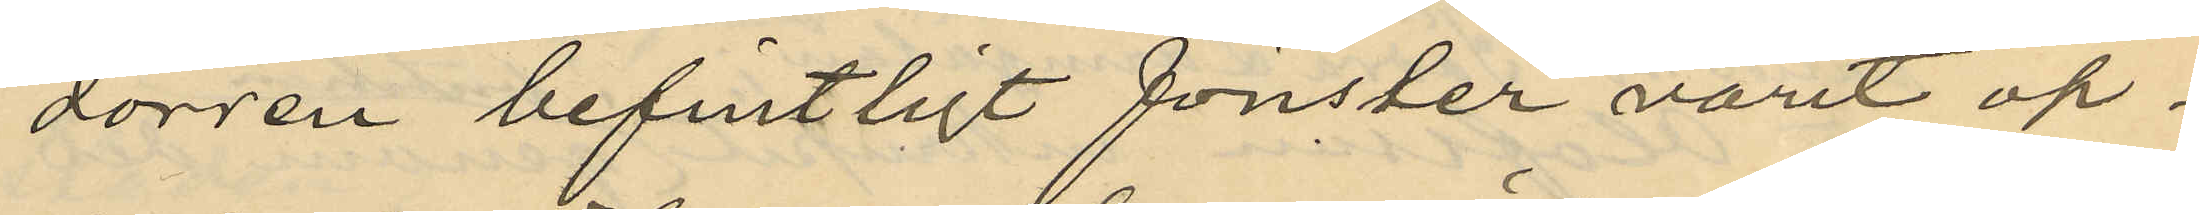dörren befintligt fönster varit öp¬
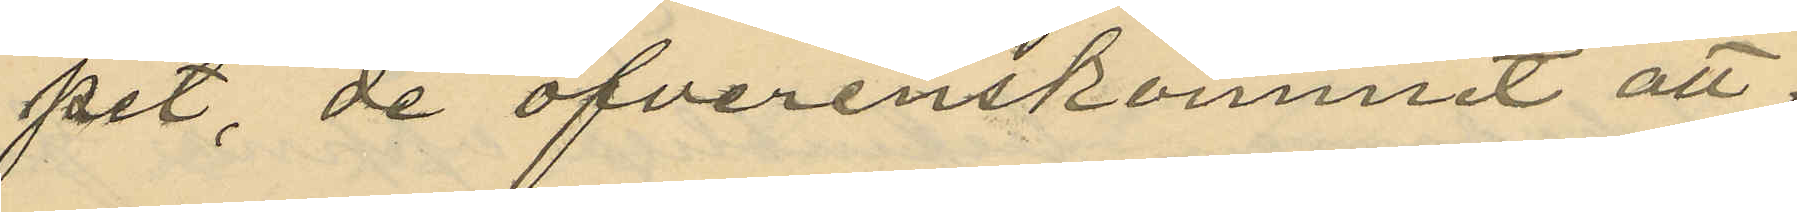pet, de öfverenskommit att
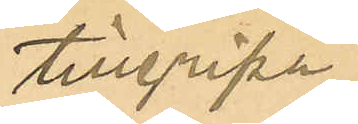tillgripa
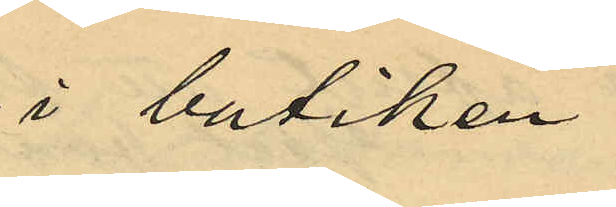i butiken
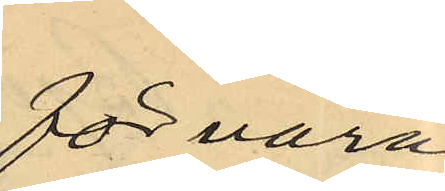förvara¬
